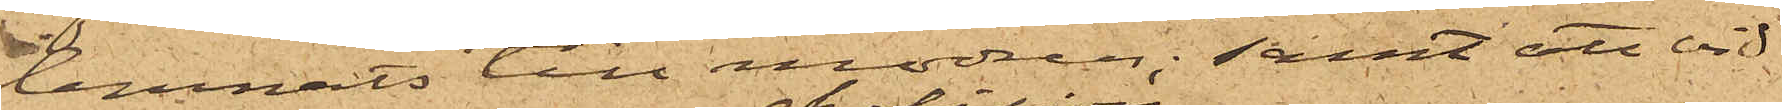lemnats till modren; samt att vid
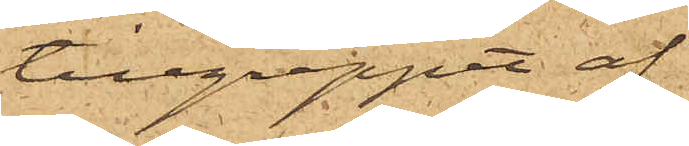tillgreppet af
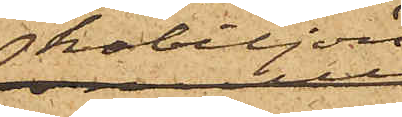kabiljon,
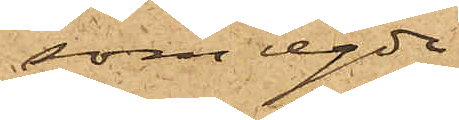som egde
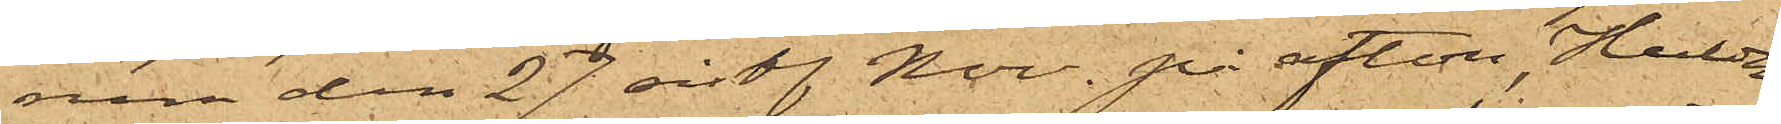rum den 27 sistl. Nov. på afton, Hulda
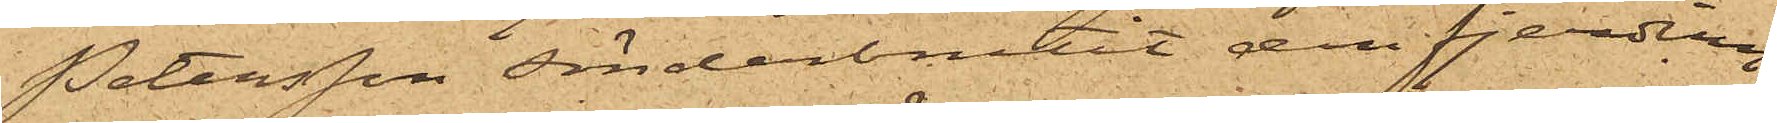Petersson sönderbrutit den fjerding,
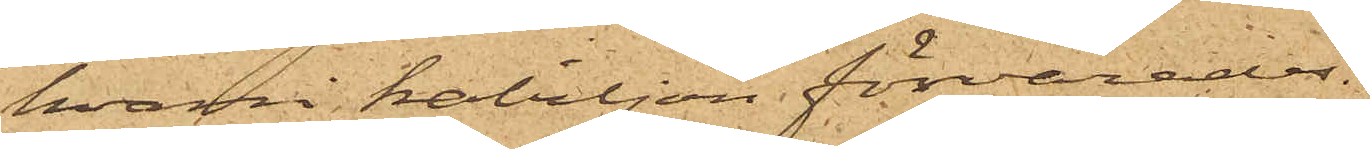hvari kabiljon förvarades.
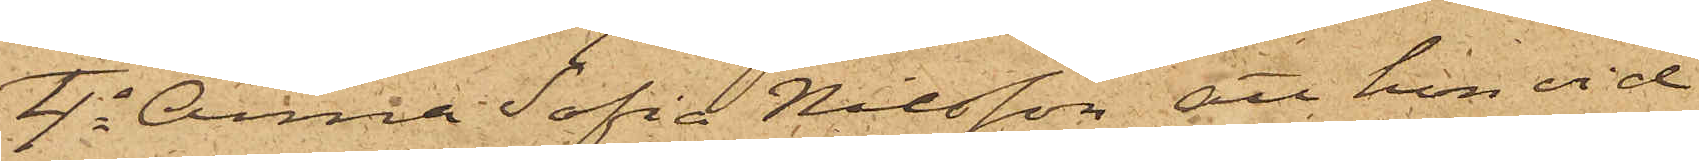4o Anna Sofia Nilsson, att hon vid
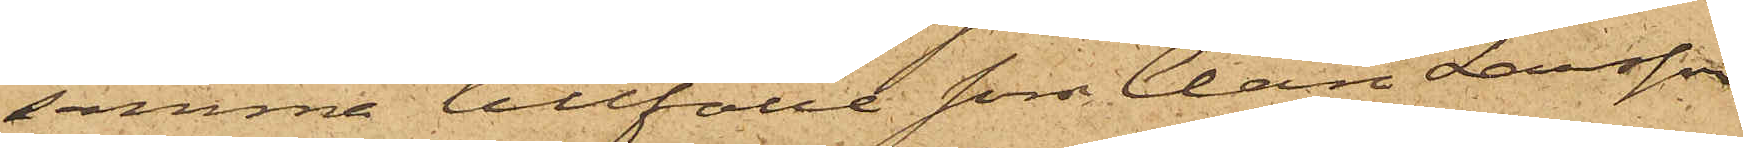samma tillfälle som Clara Larsson
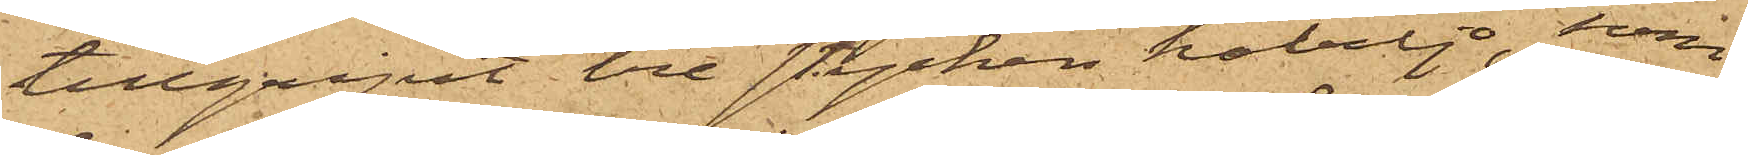tillgripit tre stycken kabiljo, som
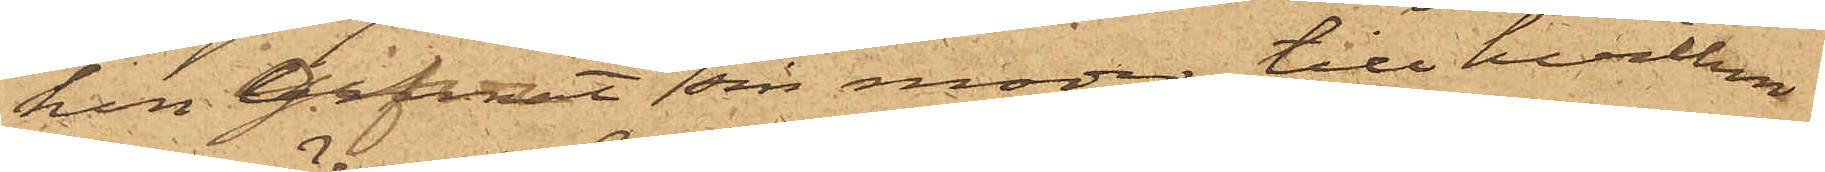hon gifvit sin moder, till hvilken
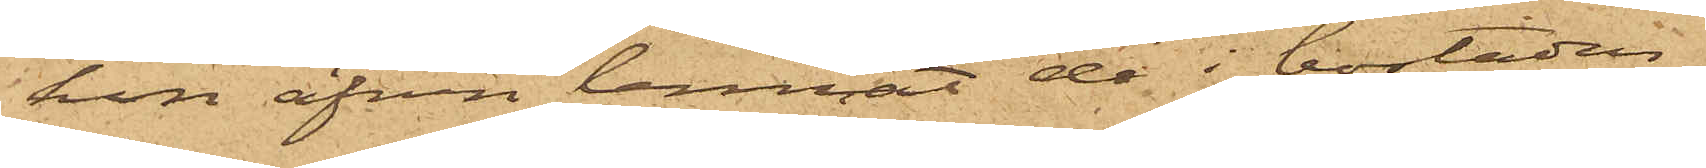hon äfven lemnat de i bostaden
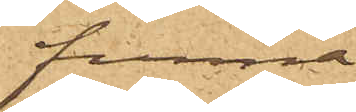funna
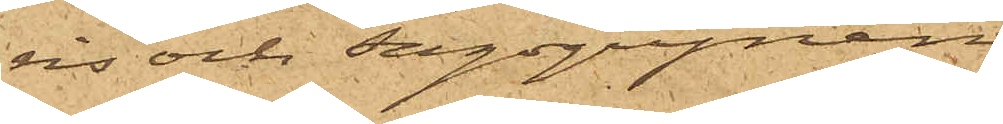ris och sagogrynen,
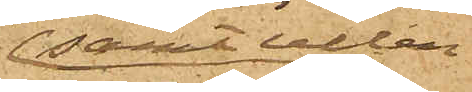samt ullen
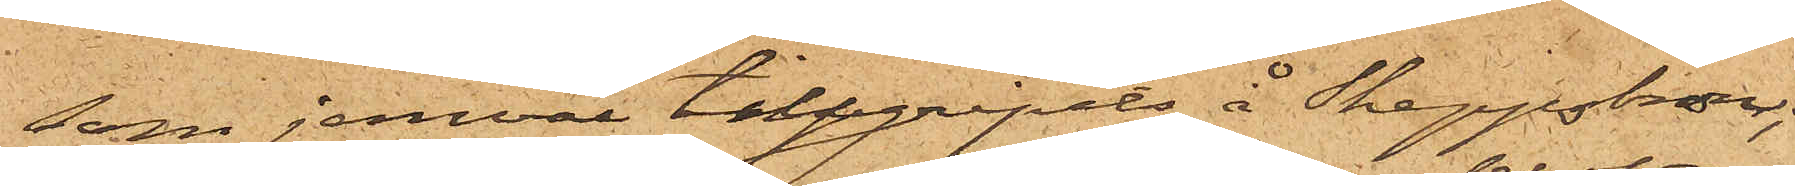som jemväl tillgripits å Skeppsbron;
